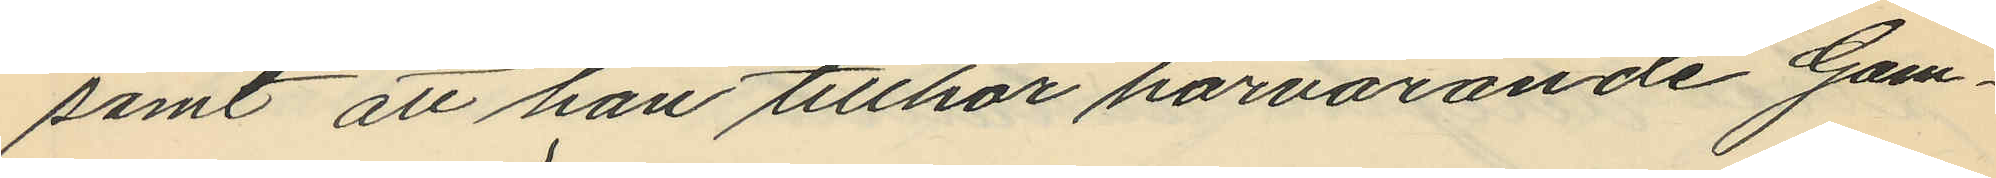samt att han tillhör härvarande Gam¬
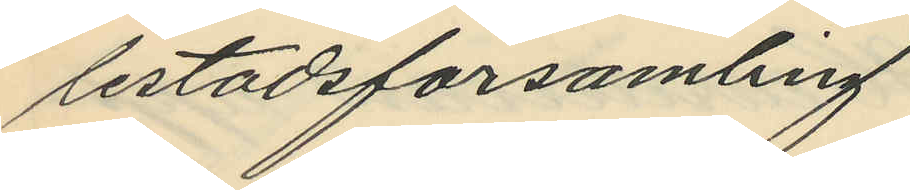lestadsförsamling.
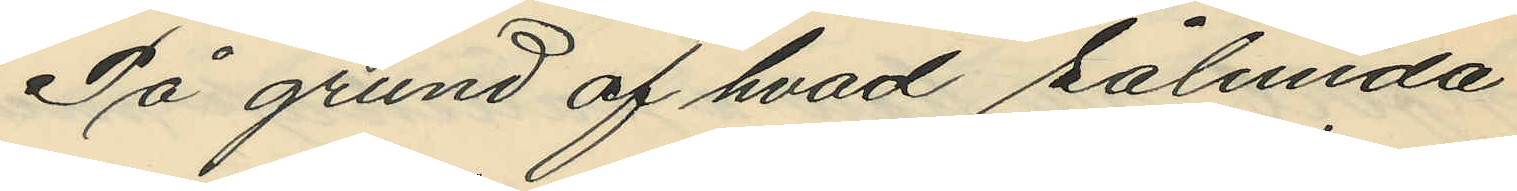På grund af hvad sålunda
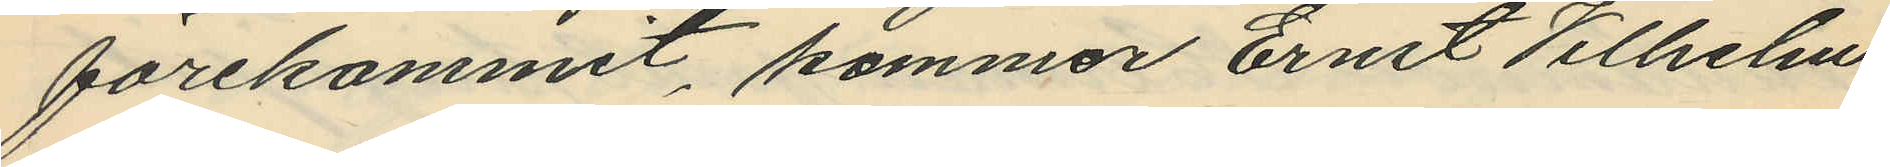förekommit, kommer Ernst Vilhelm
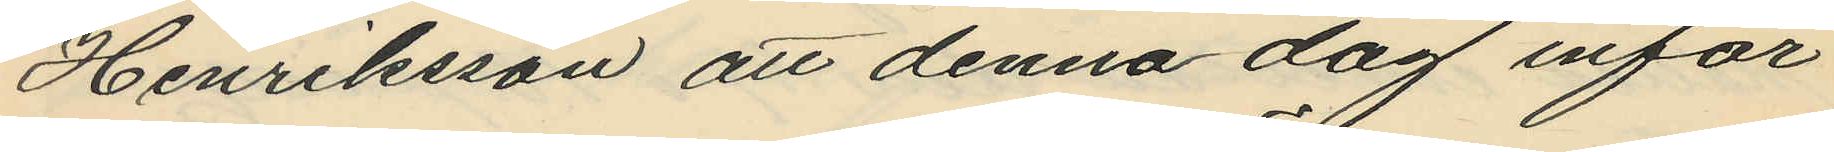Henriksson att denna dag inför
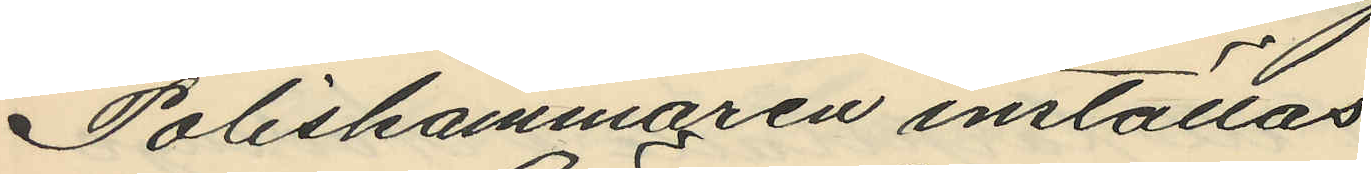Poliskammaren inställas
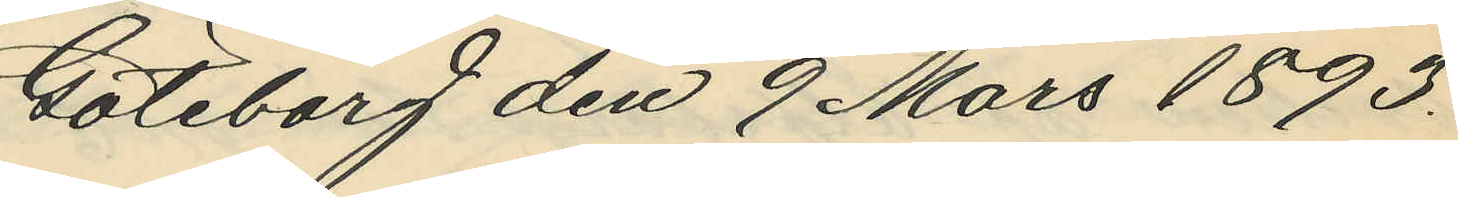Göteborg den 9 Mars 1893.
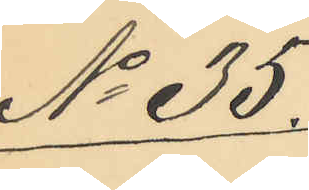No 35.
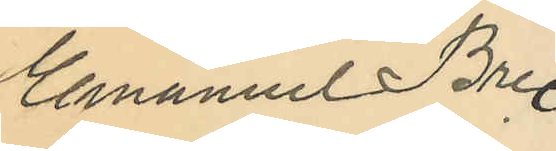Emanuel Bre
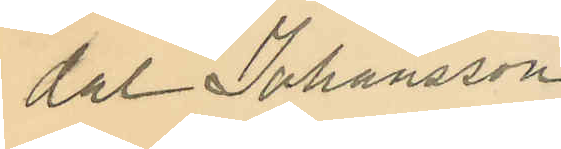dal Johansson
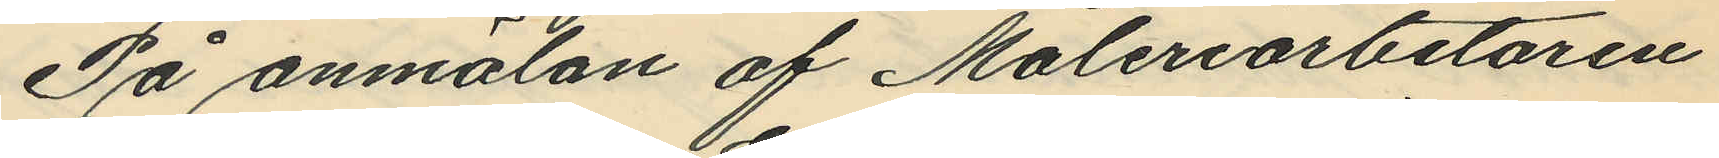På anmälan af Måleriarbetaren
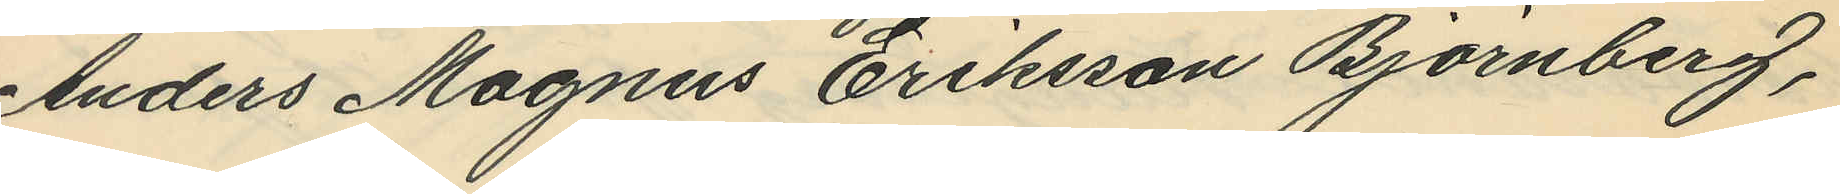Anders Magnus Eriksson Björnberg,
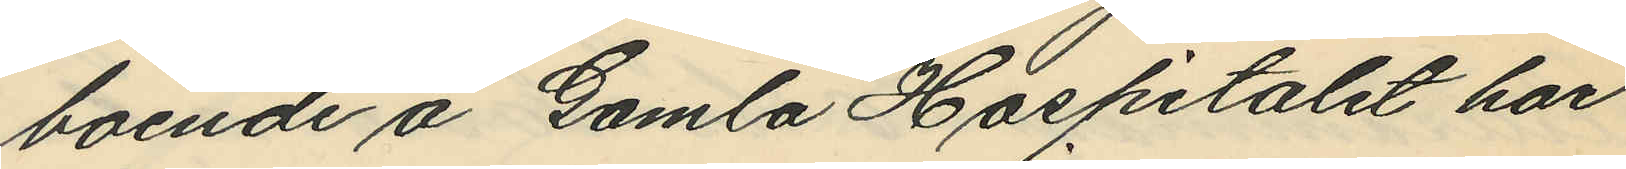boende å Gamla Hospitalet har
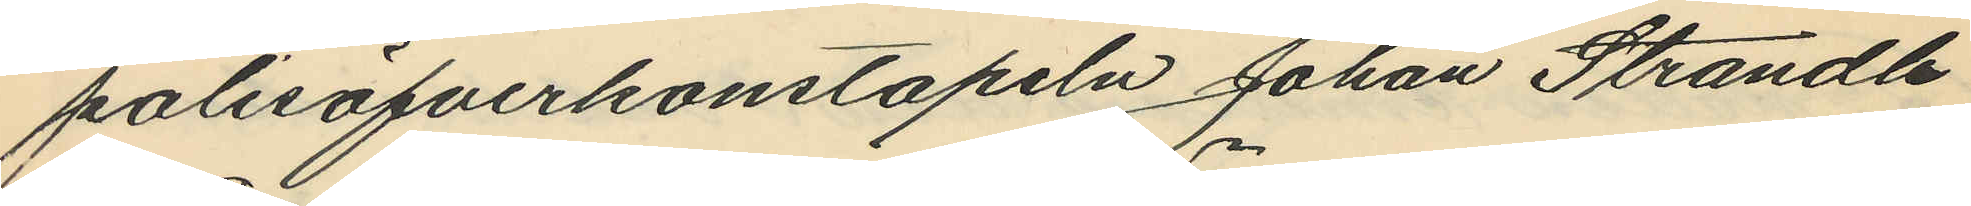polisöfverkonstapeln Johan Strandh
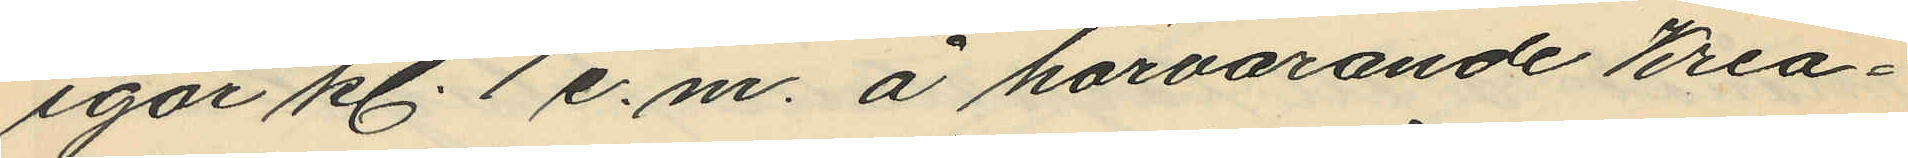igår kl. 1 e.m. å härvarande Krea¬
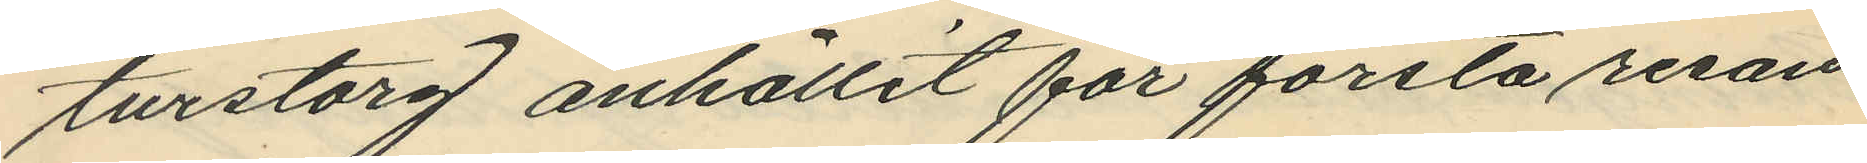turstorg anhållit för första resan
